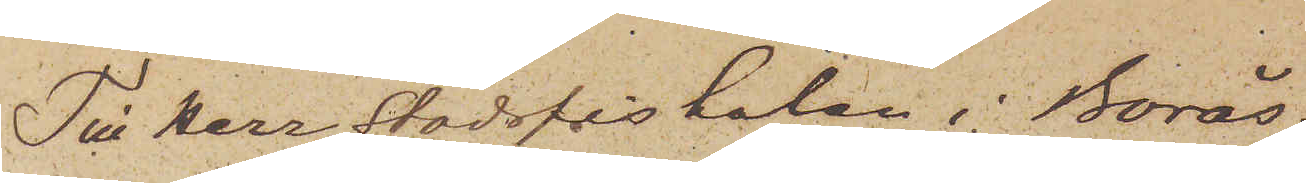Till Herr Stadsfiskalen i Borås.
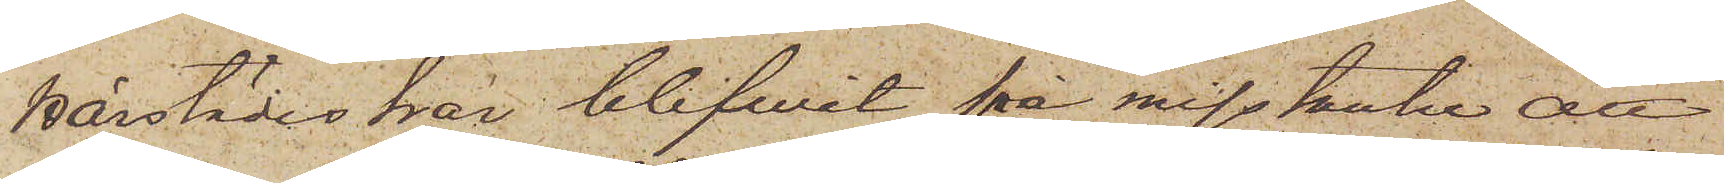Härstädes har blifvit på misstanke att
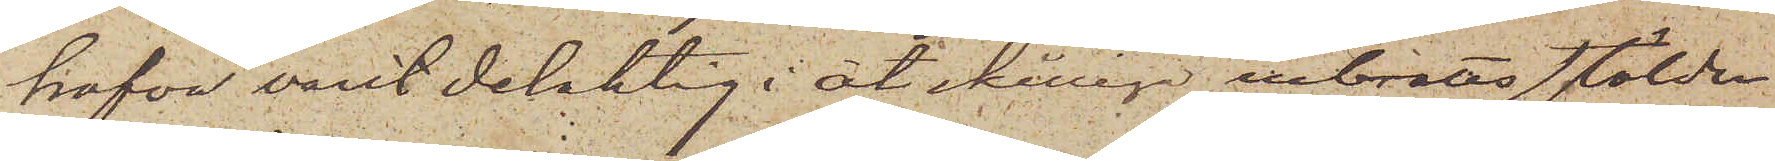hafva varit delaktig åtskilliga inbrottsstölder
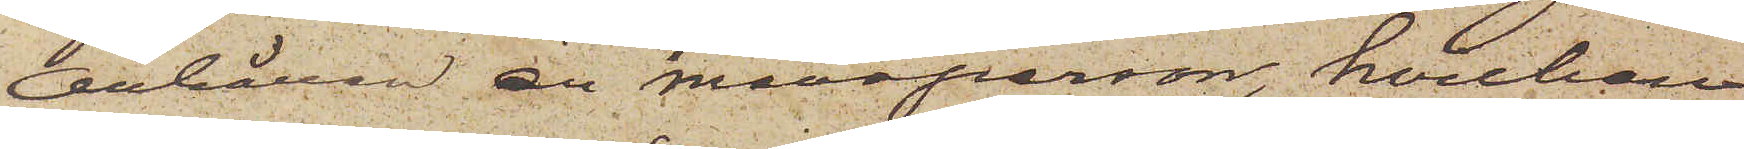anhållen en mansperson, hvilken
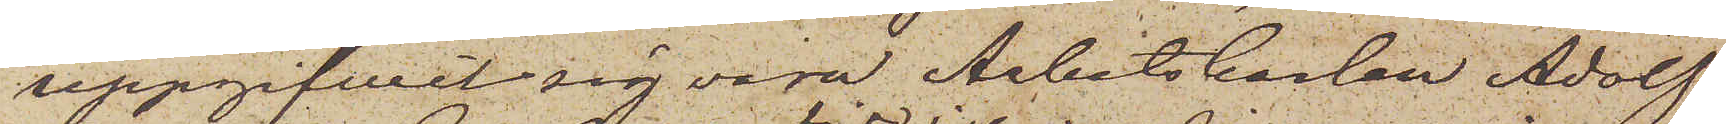uppgifvit sig vara Arbetskarlen Adolf
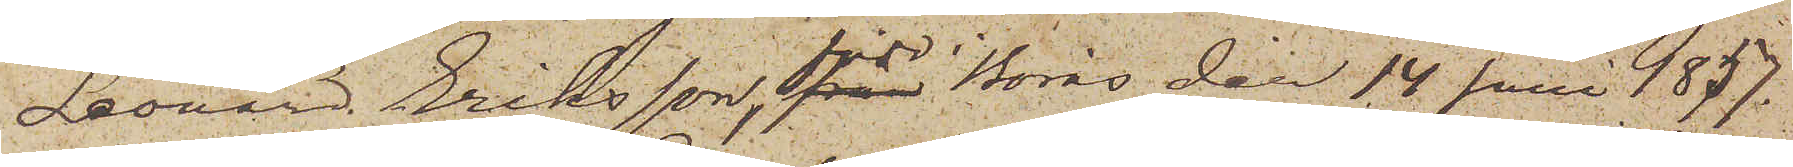Leonard Eriksson, född i Borås den 14 Juni 1857.
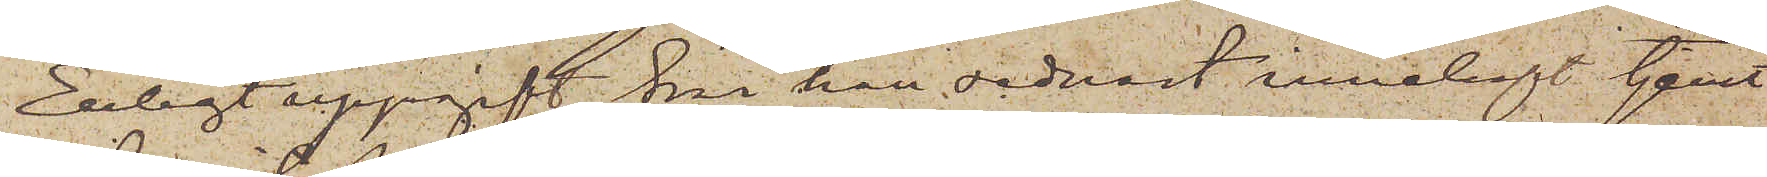Enligt uppgift sin han sednast innehaft tjenst
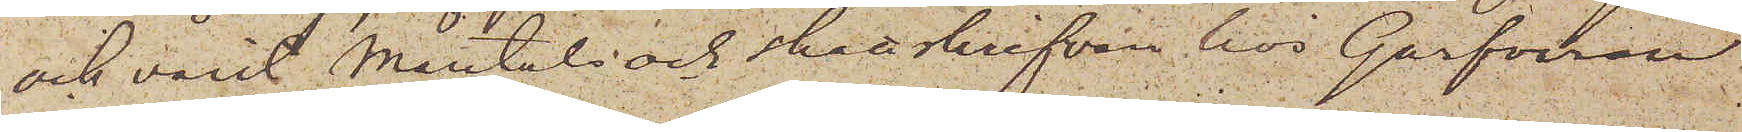och varit mantals och skattskrifven hos Garfvaren
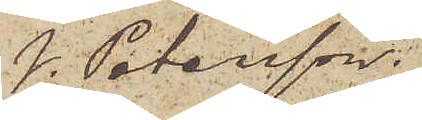J. Petersson:
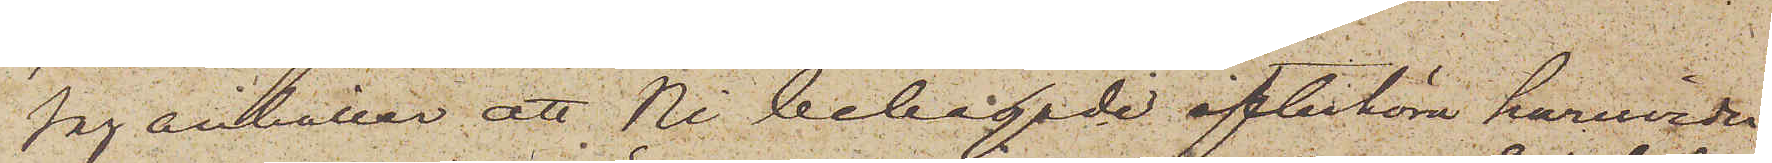Jag anhåller att Ni behagade efterhöra huruvida
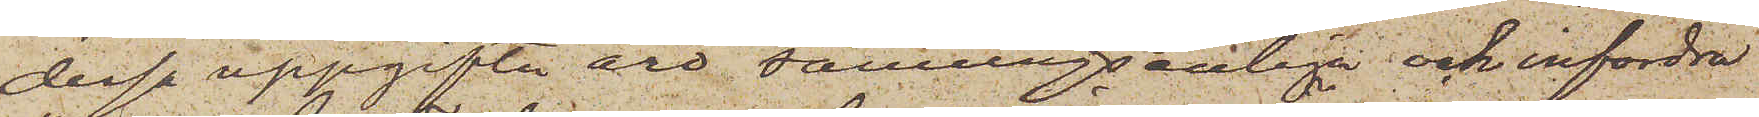dessa uppgifter äro sanningsenliga och infordra
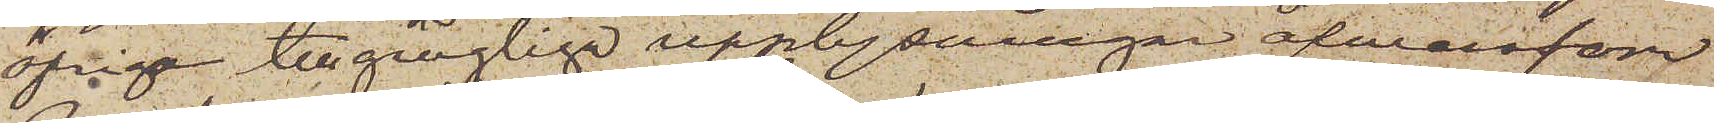öfrige tillgängliga upplysningar äfwensom
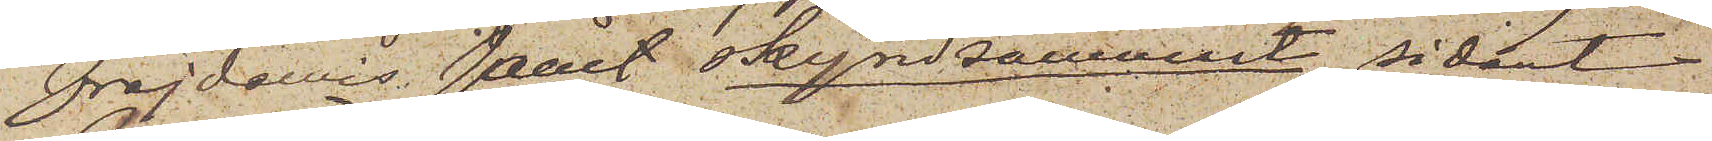Frejdbevis samt skyndsammast sådant
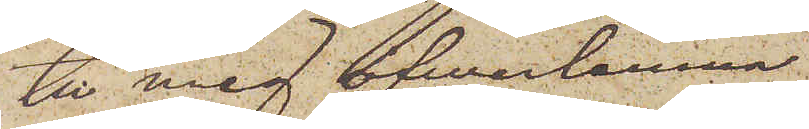till mig öfwerlemna.
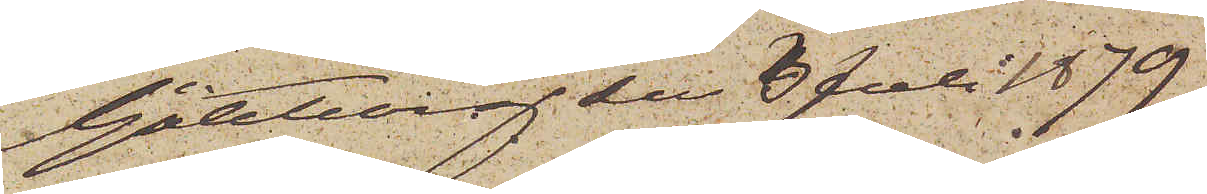Göteborg den 6 Juli 1879
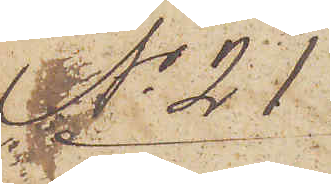No 21
